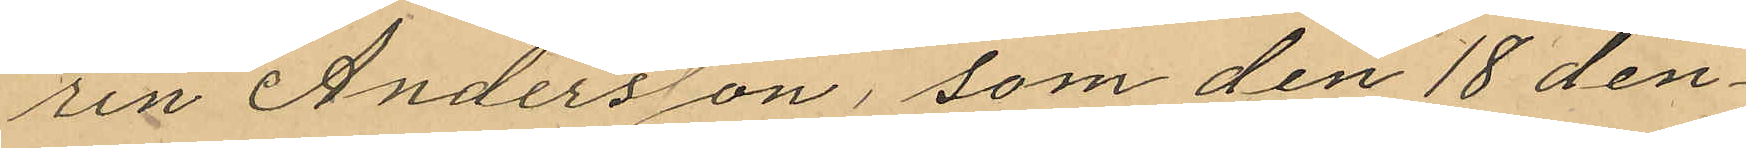rin Andersson, som den 18 den¬
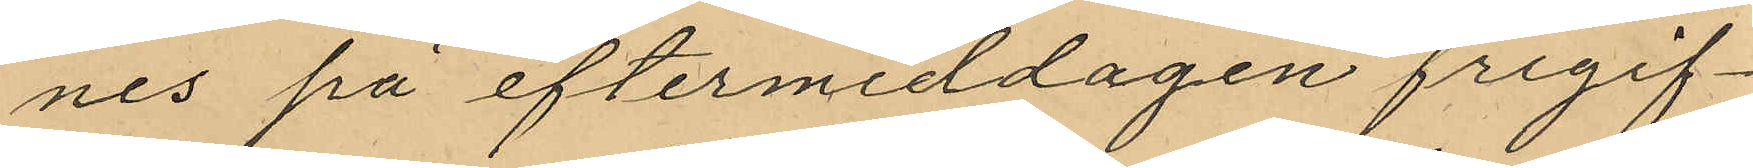nes på eftermiddagen frigif¬
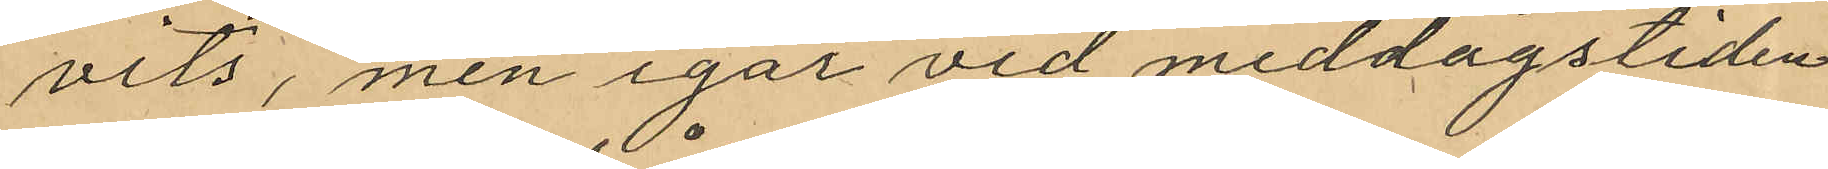vits, men igår vid middagstiden
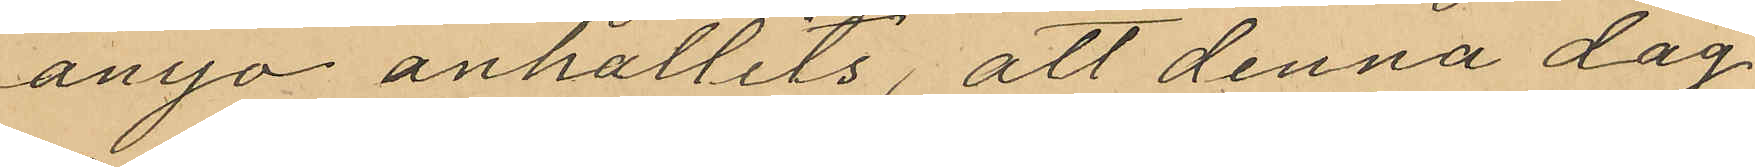ånyo anhållits, att denna dag
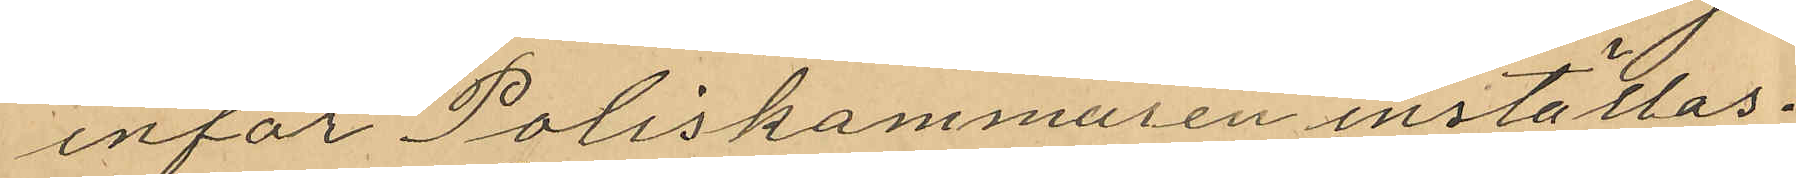inför Poliskammaren inställas.
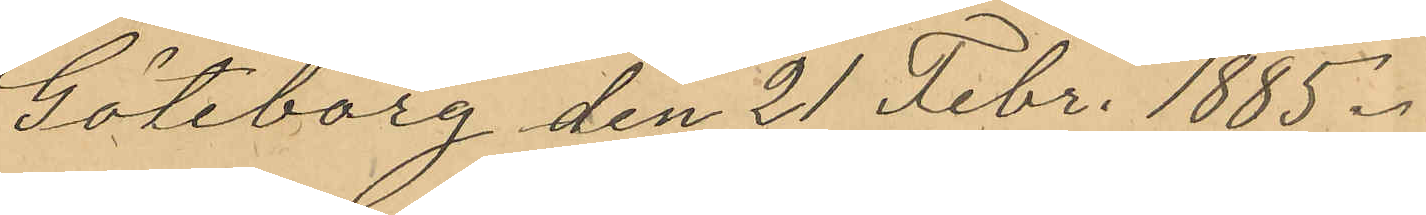Göteborg den 21 Febr. 1885.
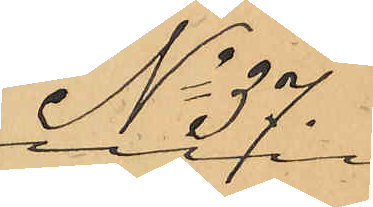No 37.
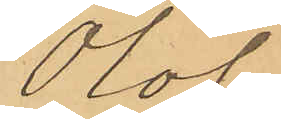Olof
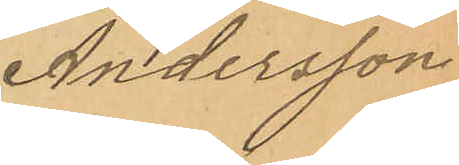Andersson
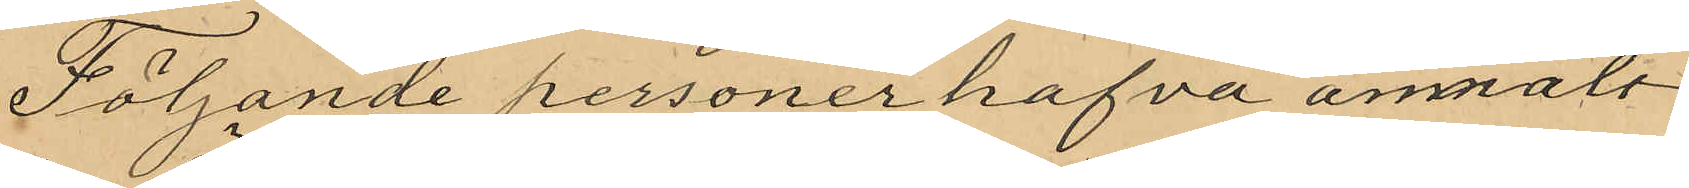Följande personer hafva anmält
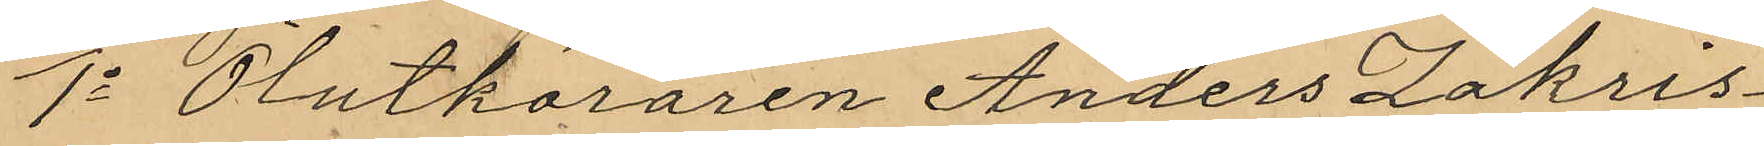1o Ölutköraren Anders Zakris¬
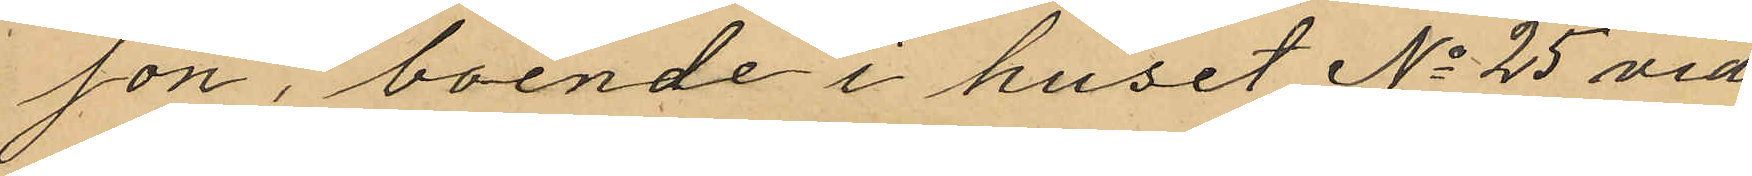son, boende i huset No 25 vid
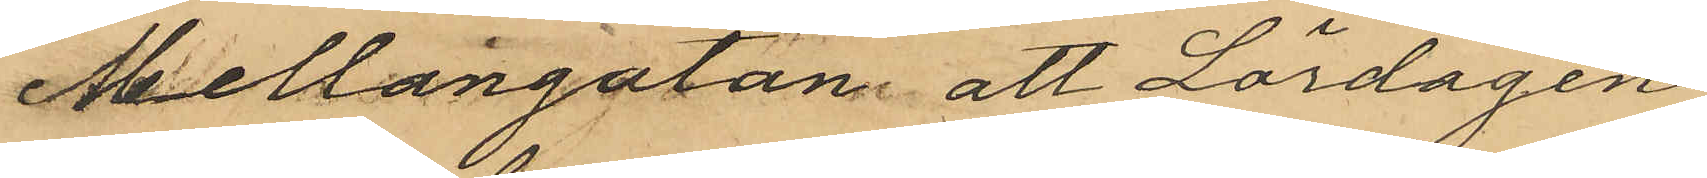Mellangatan att Lördagen
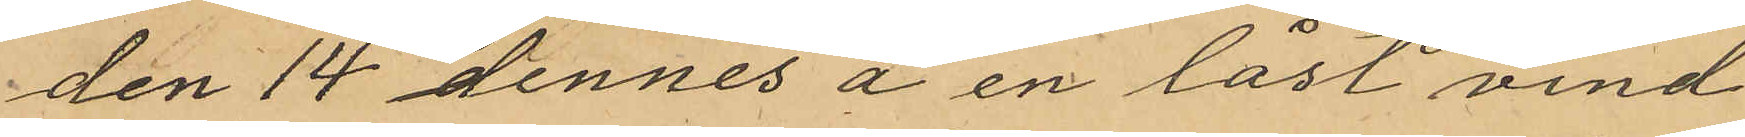den 14 dennes å en låst vind
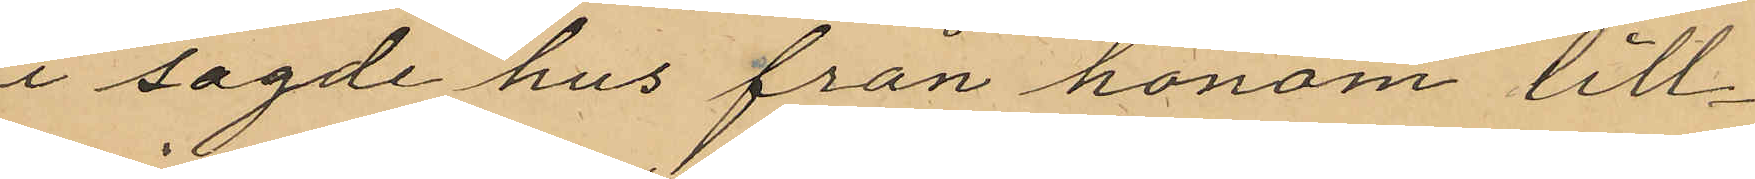i sagde hus från honom till¬
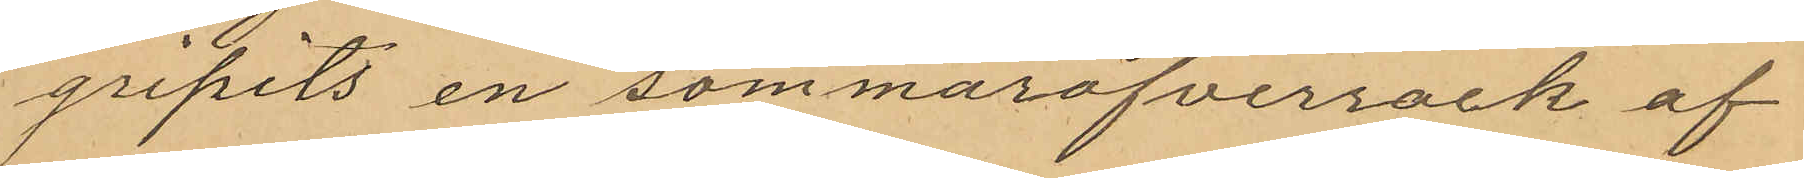gripits en sommaröfverrock af
